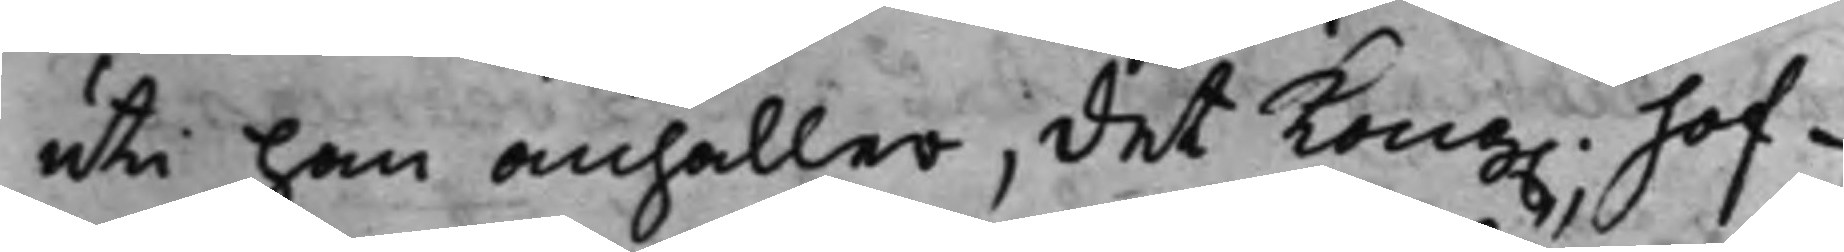uti han anhåller, det Kong. Hof¬
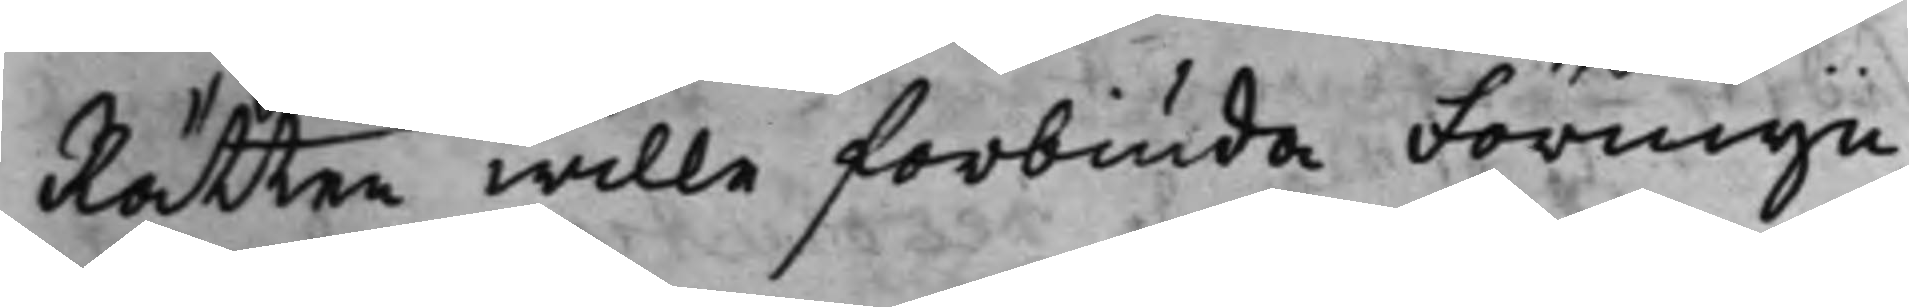Rätten wille förbiuda Förmyn¬
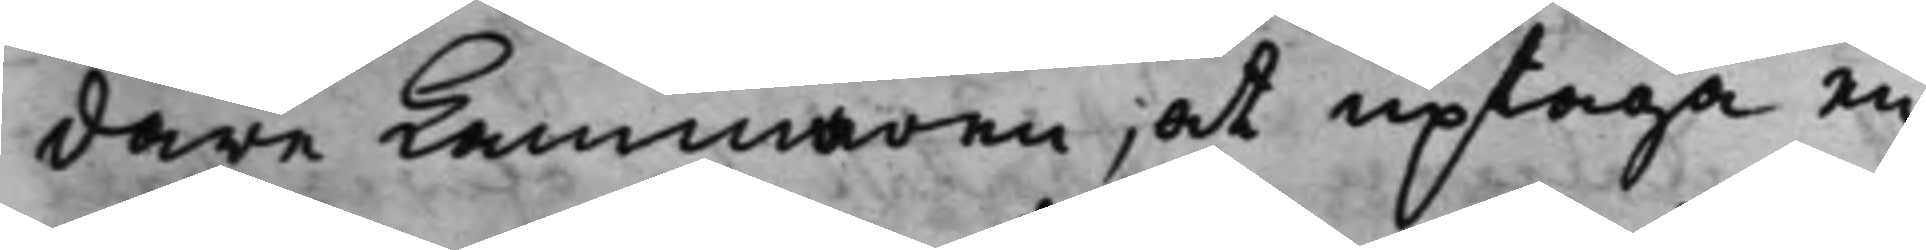dare Cammaren, at uptaga en
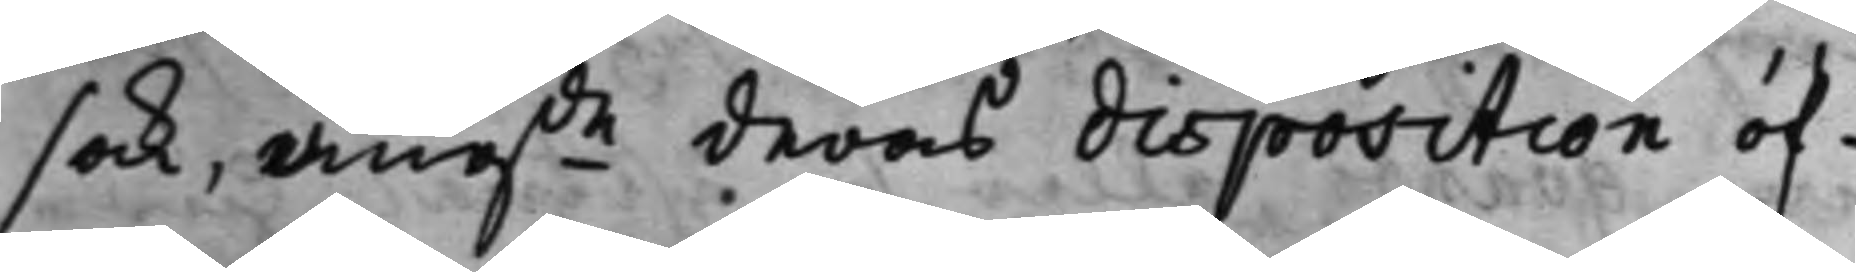sak, angde deras disposition öf¬
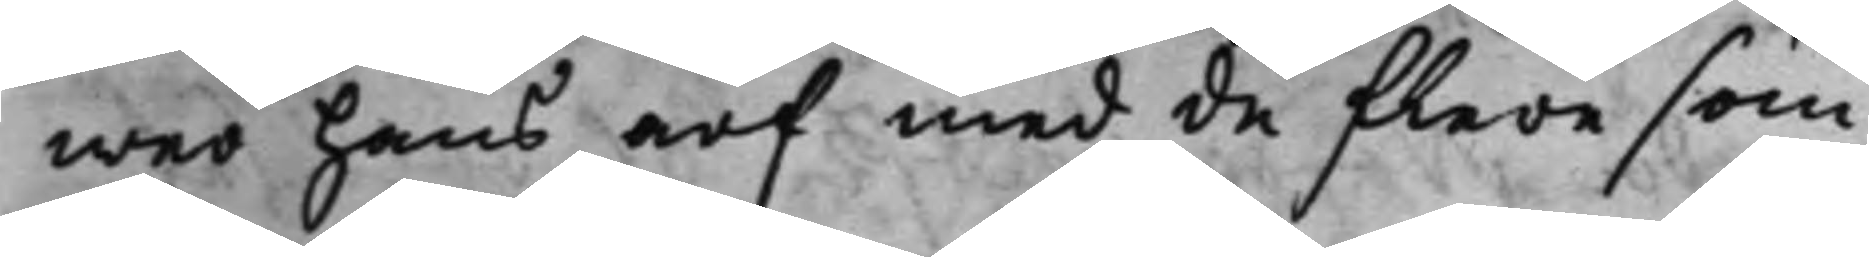wer hans arf med de flere som
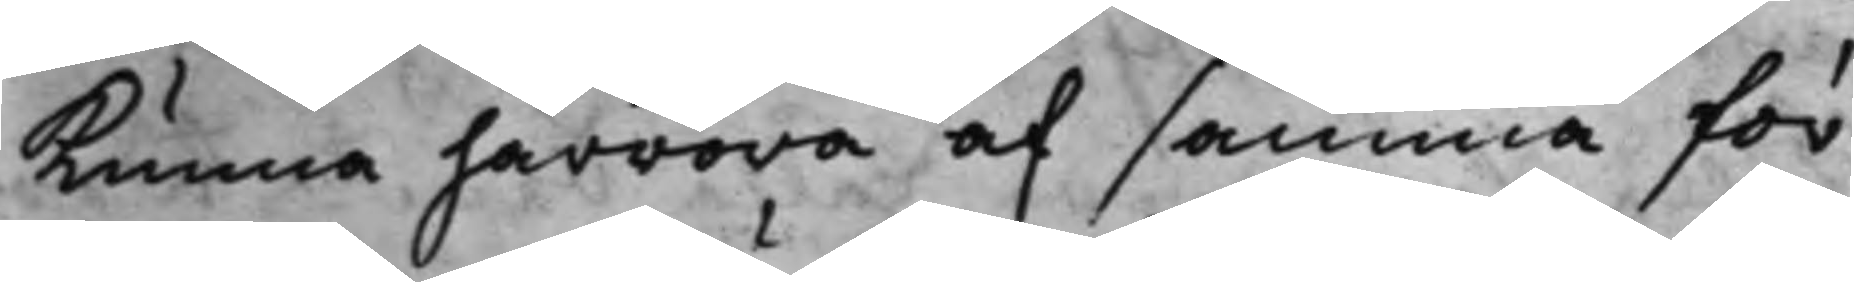kunna härröra af samma för¬
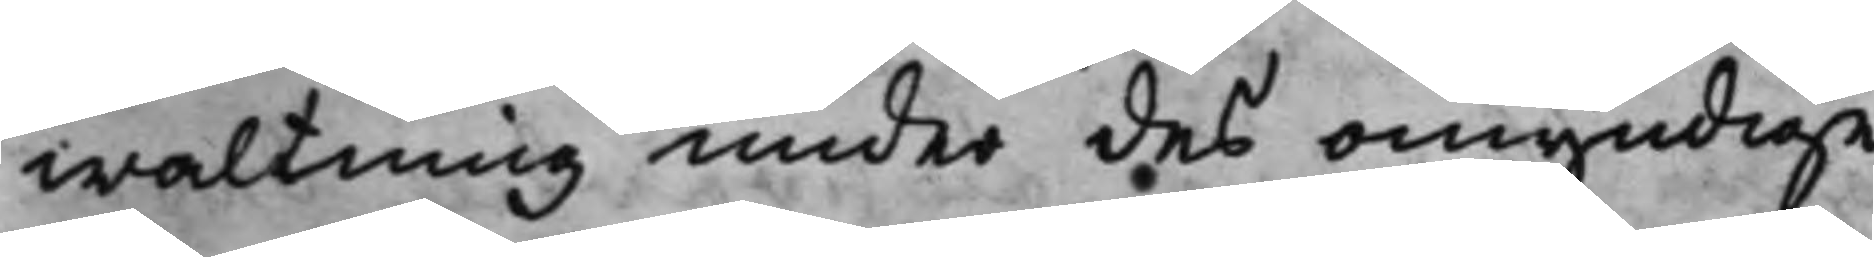waltning under des omyndige
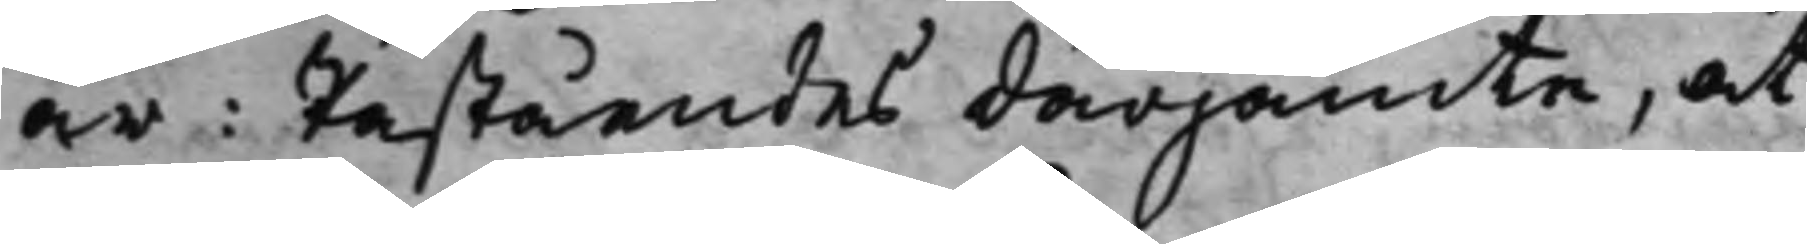år; Påståendes därjämte, at
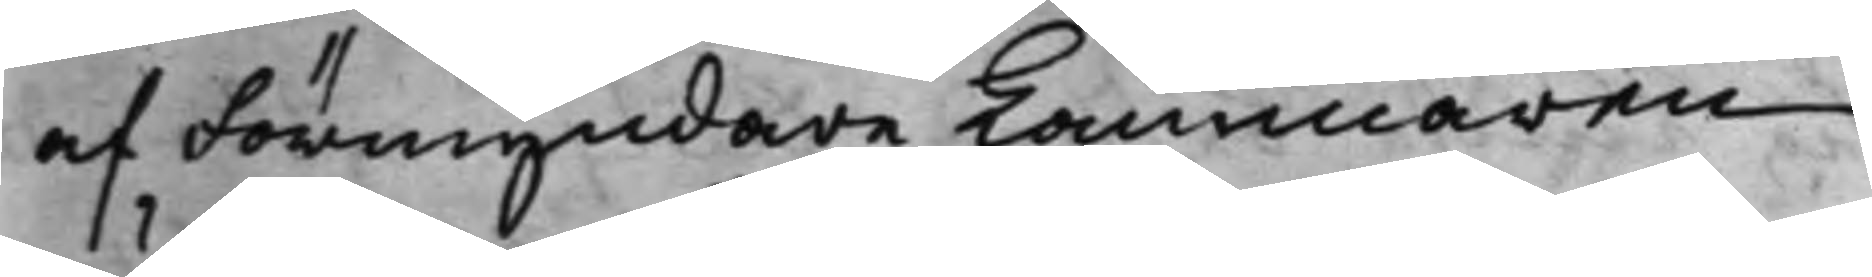af Förmyndare Cammaren
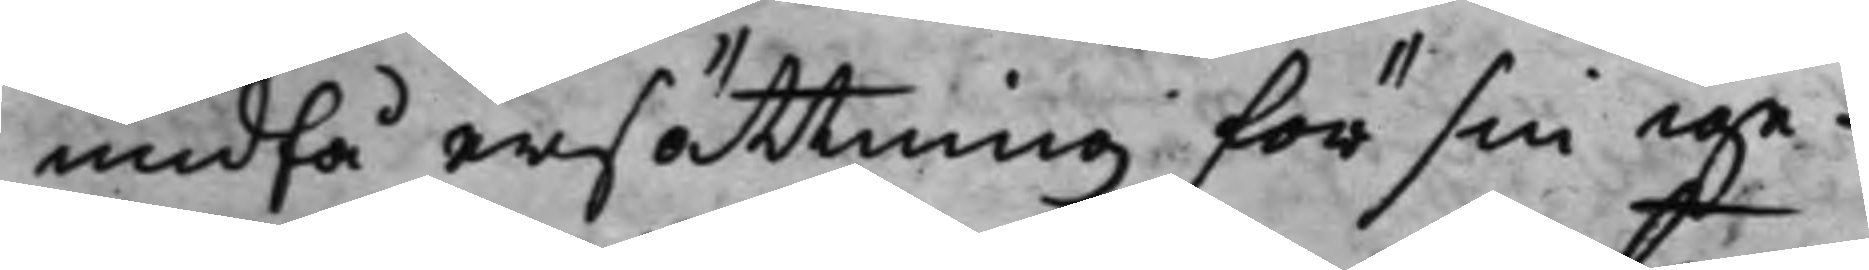undfå ersättning för sin ige¬
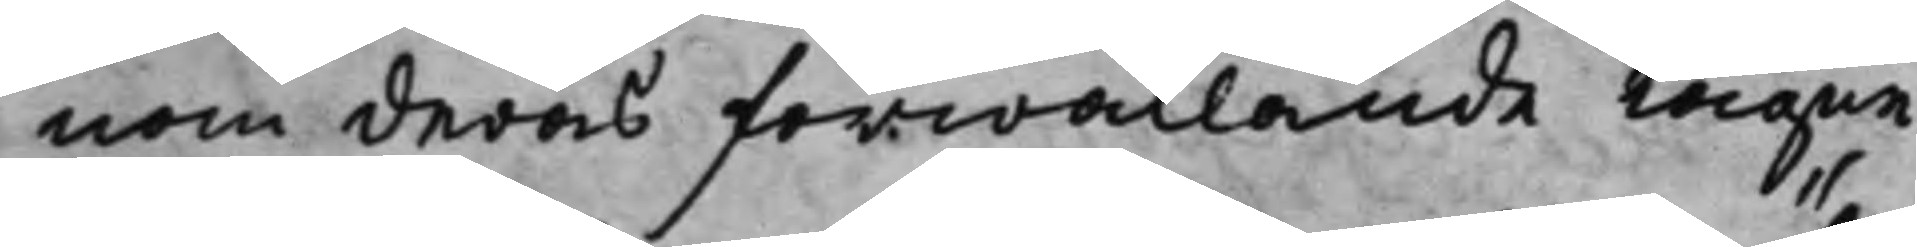nom deras förwållande tagne
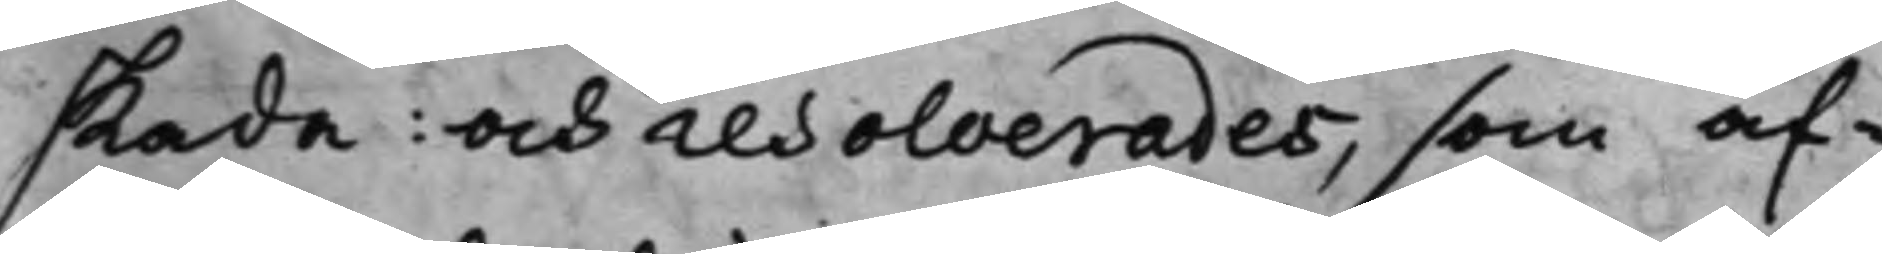skada: och resolverades, som äf¬
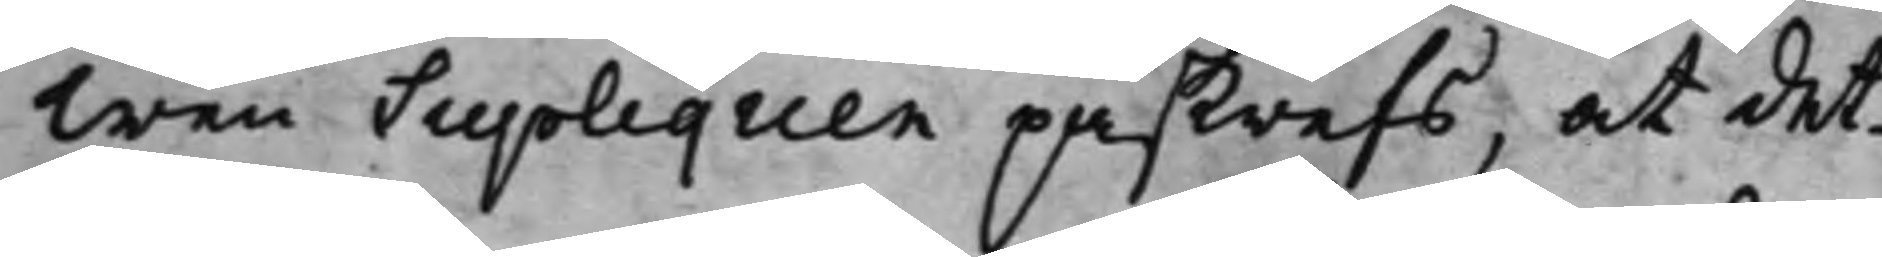wen Supliquen påskrefs, at det¬
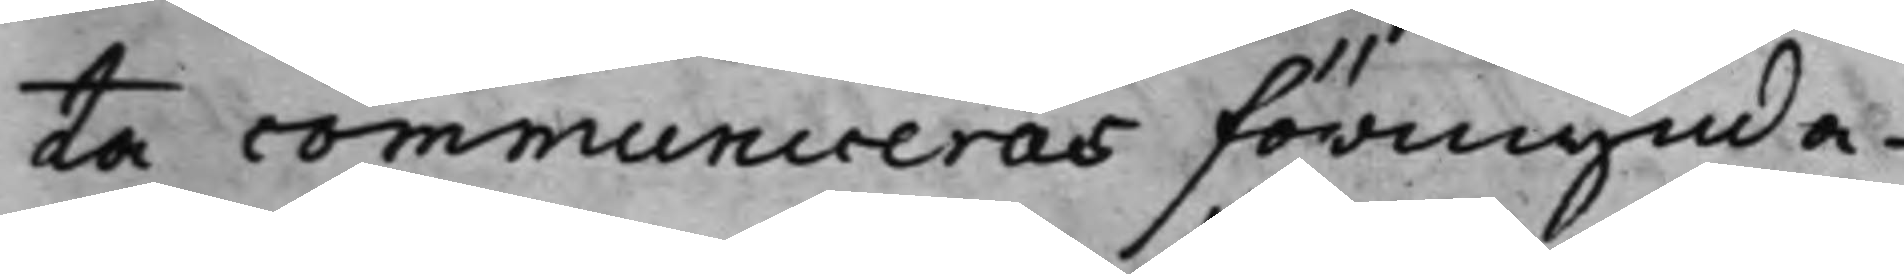ta communiceras förmynda¬
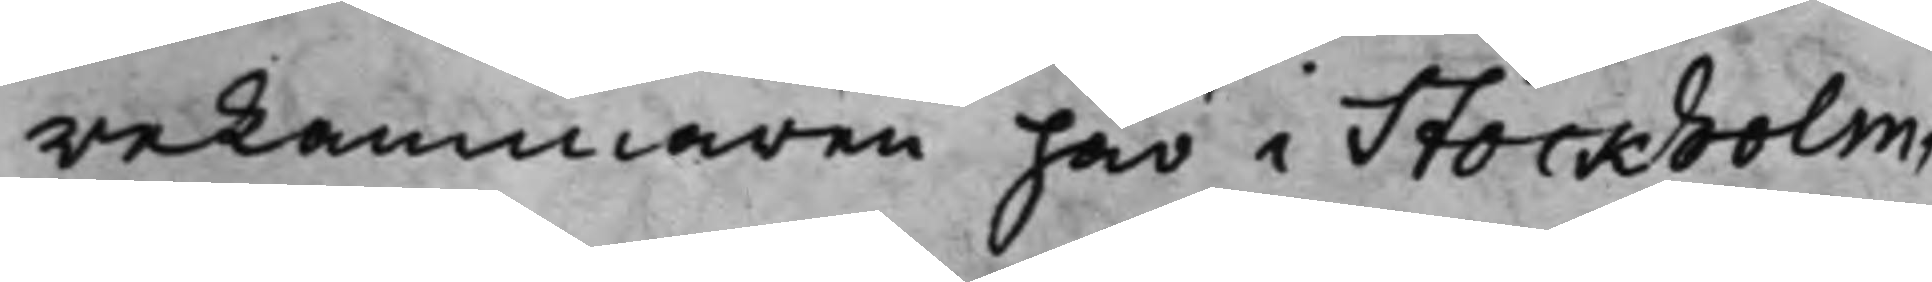reKammaren här i Stockholm,
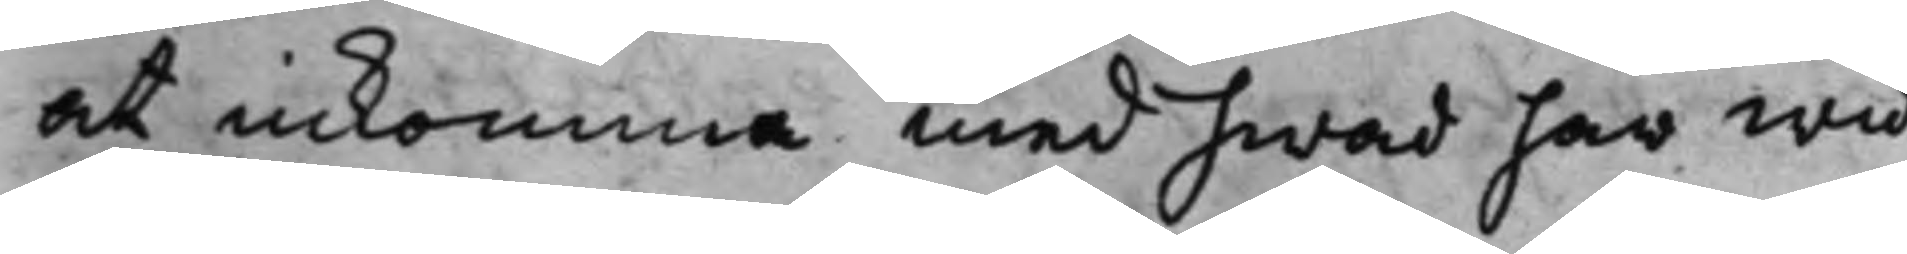at inkomma med hwad här wid
